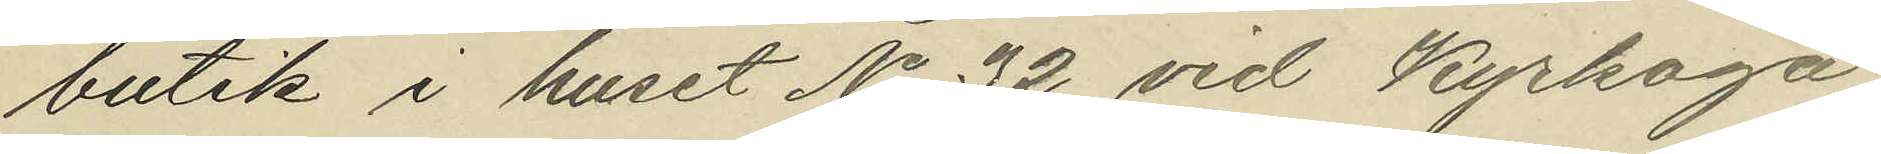butik i huset No 32 vid Kyrkoga¬
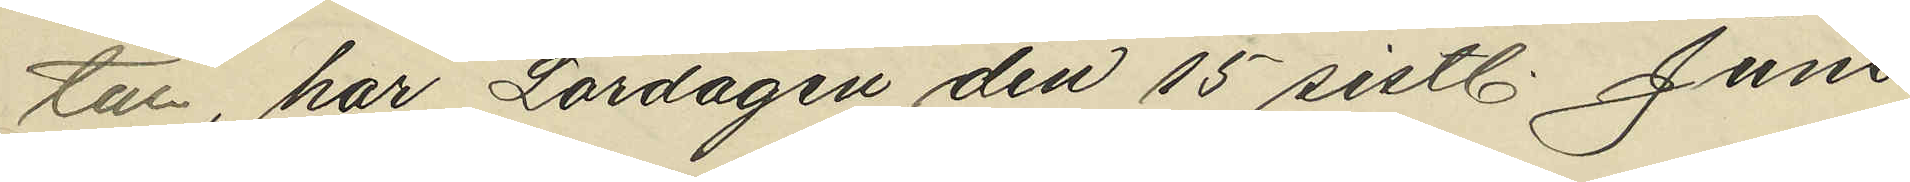tal, har Lördagen den 15 sistl. Juni
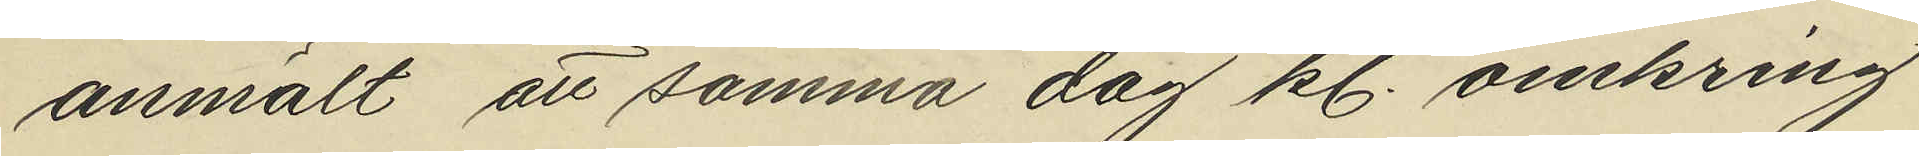anmält att samma dag kl. omkring
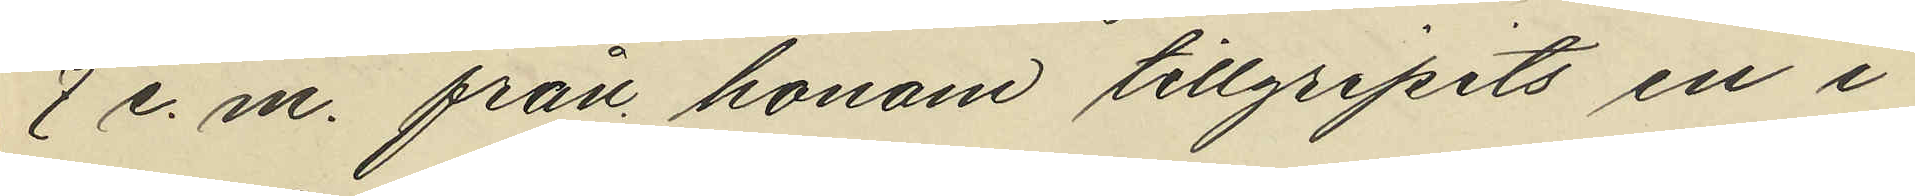7 e. m. från honom tillgripits en i
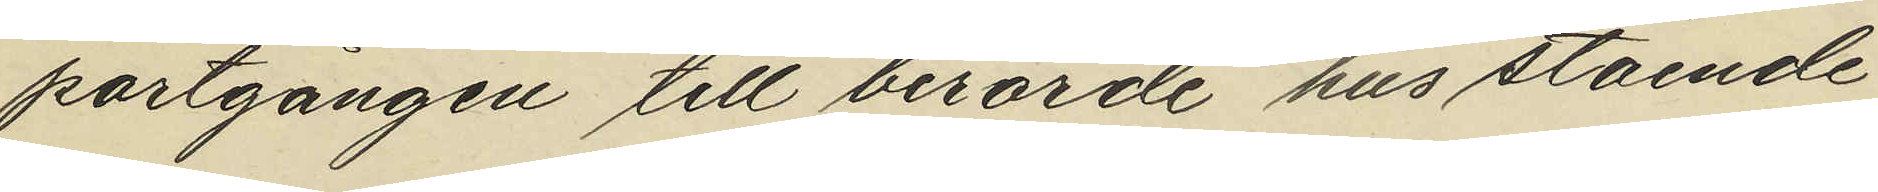portgången till berörde hus stående
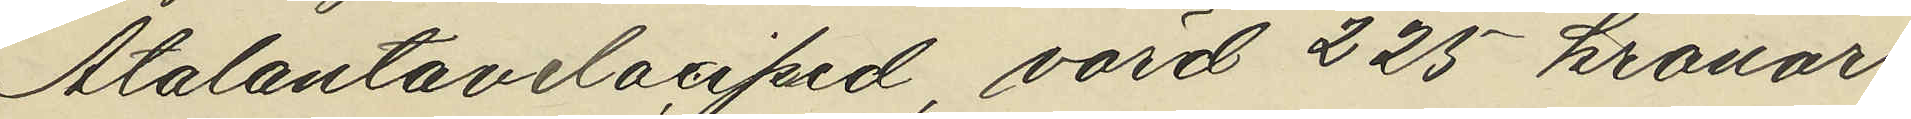Atalantavelociped, värd 225 kronor
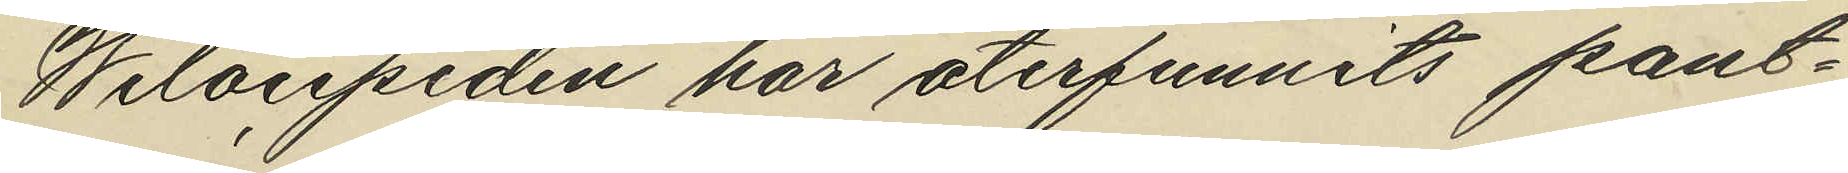Welocipeden har återfunnits pant¬
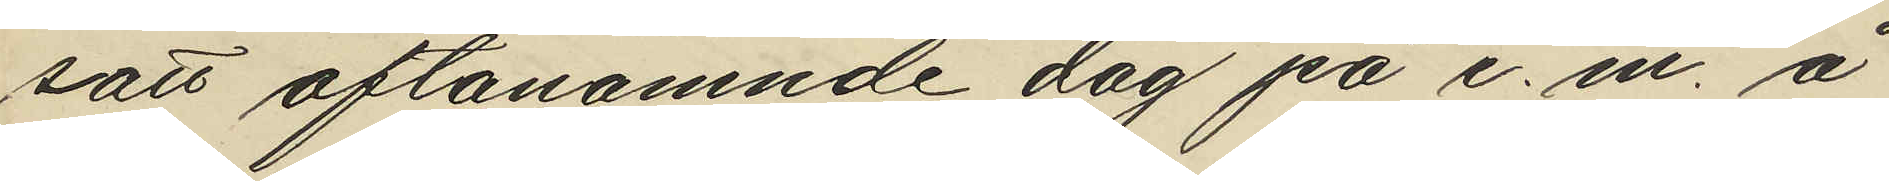satt oftanämnde dag på e. m. å
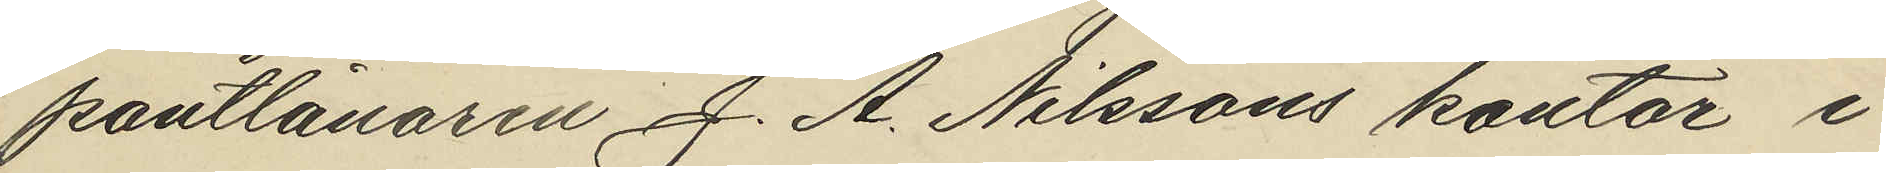pantlånaren J. A. Nilssons kontor i
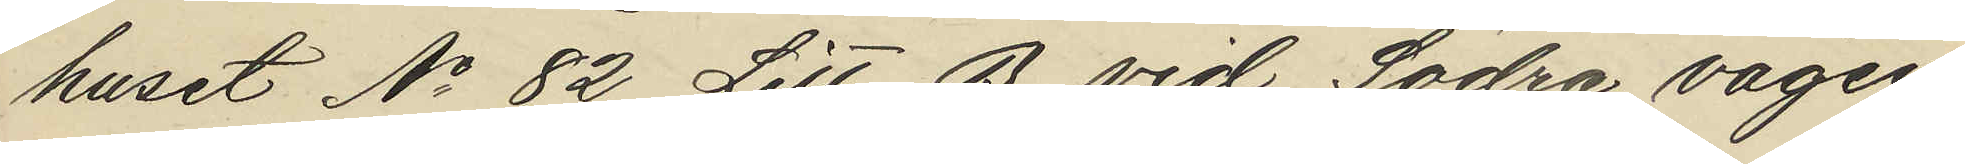huset No 82 Litt. B. vid Södra vägen
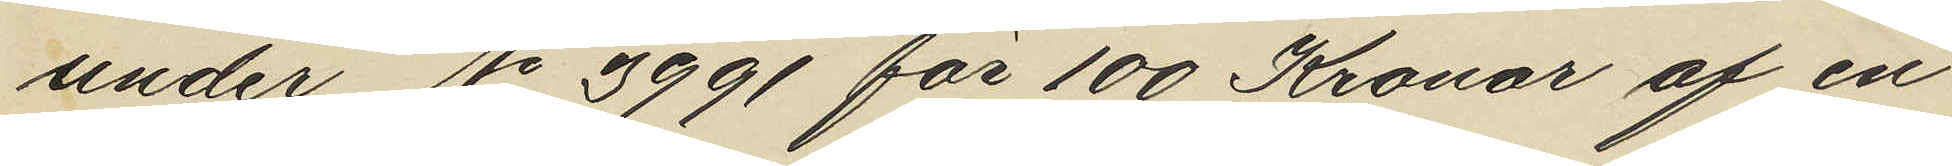under No 3991 för 100 Kronor af en
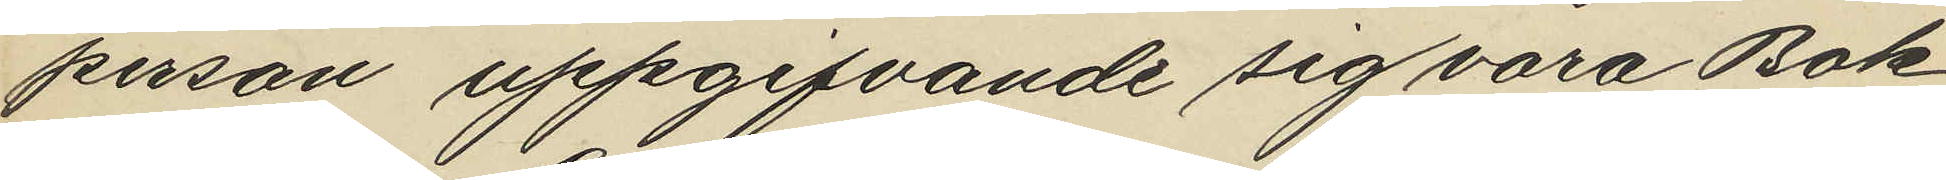person uppgifvande sig vara Bok¬
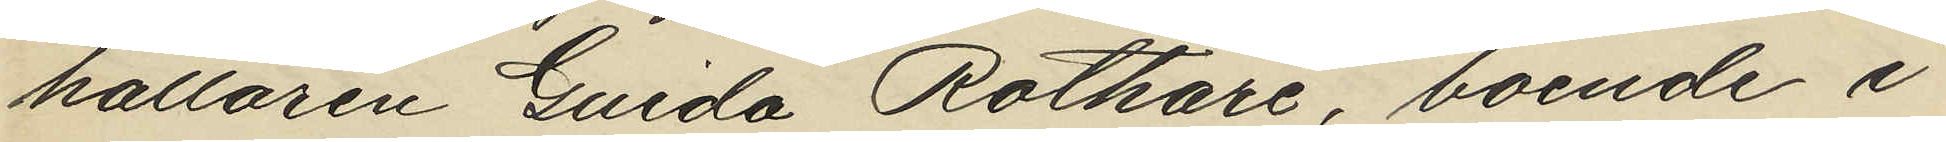hållaren Guida Rothare, boende i
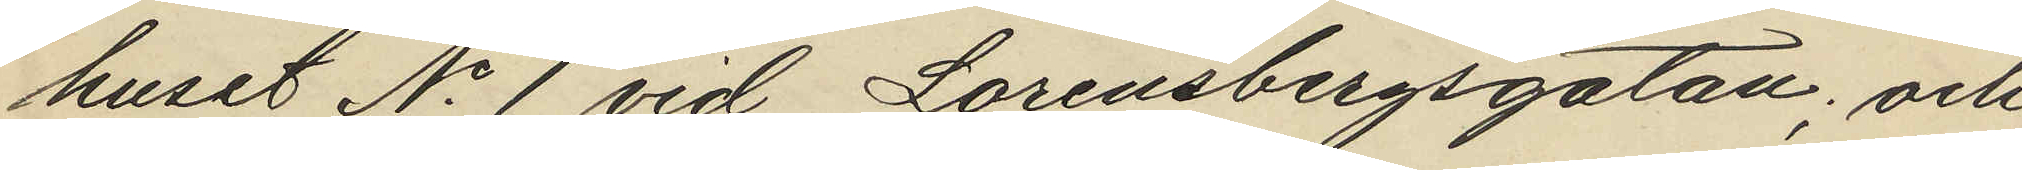huset No 1 vid Lorensbergsgatan; och
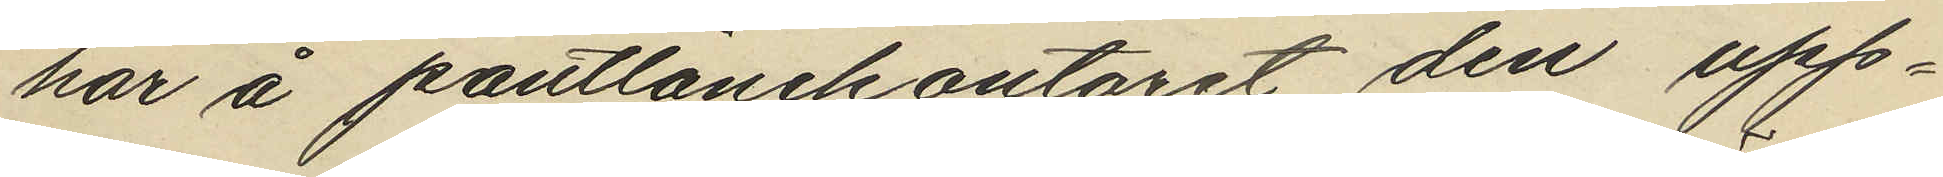har å pantlånekontoret den upp¬
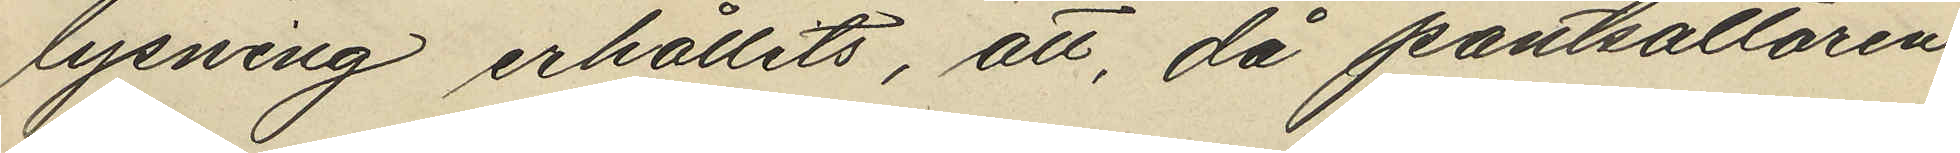lysning erhållits, att, då pantsättaren
